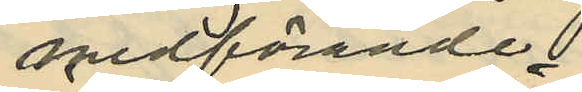medförande
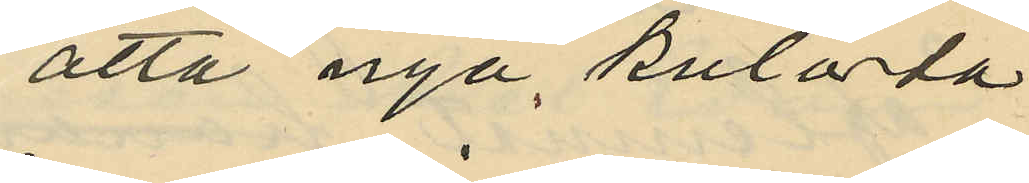åtta nya kulörta
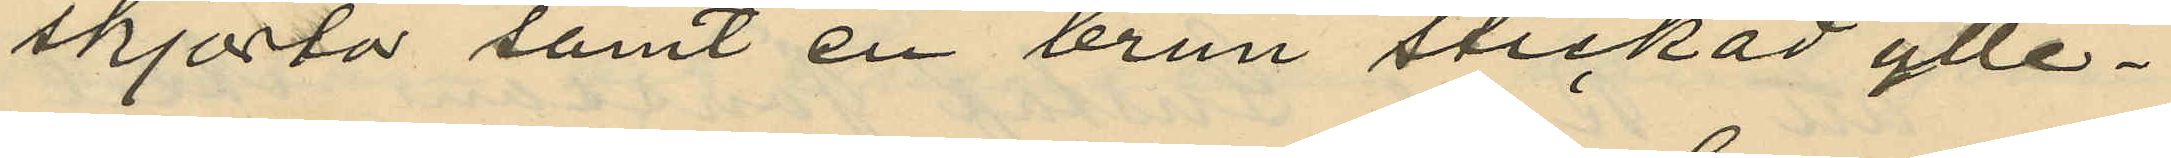skjortor samt en brun stickad ylle¬
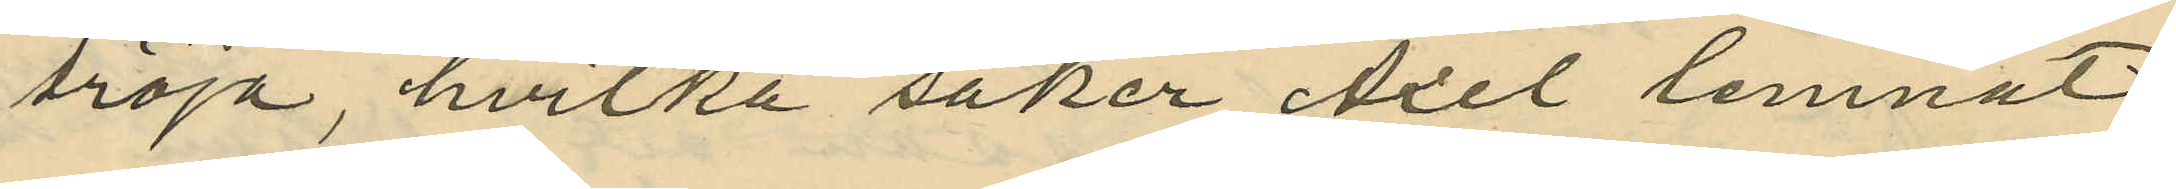tröja, hvilka saker Axel lemnat
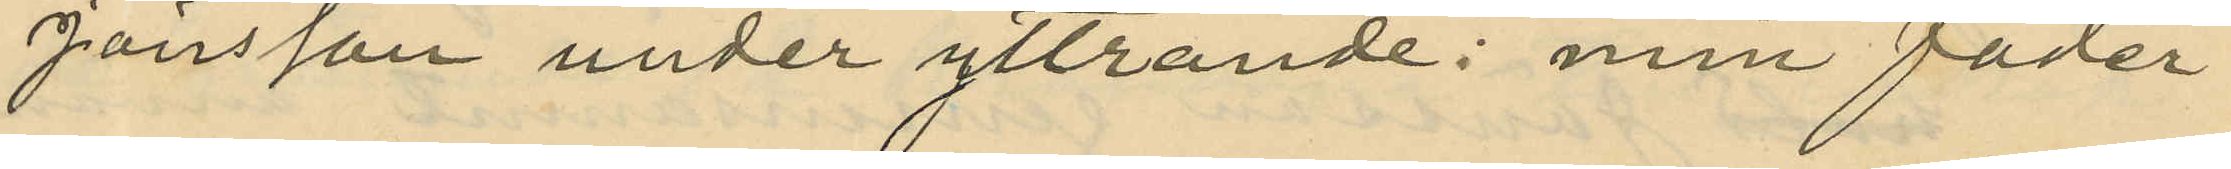Jönsson under yttrande: min fader
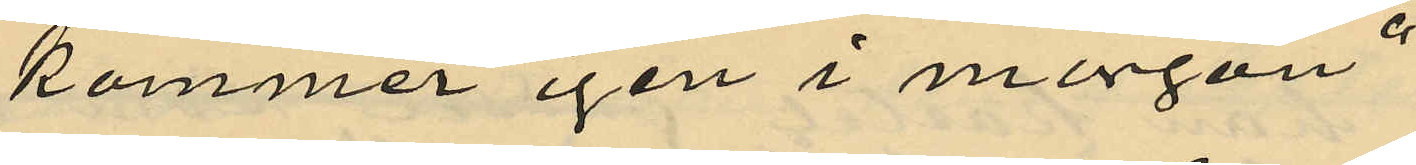kommer igen i morgon";
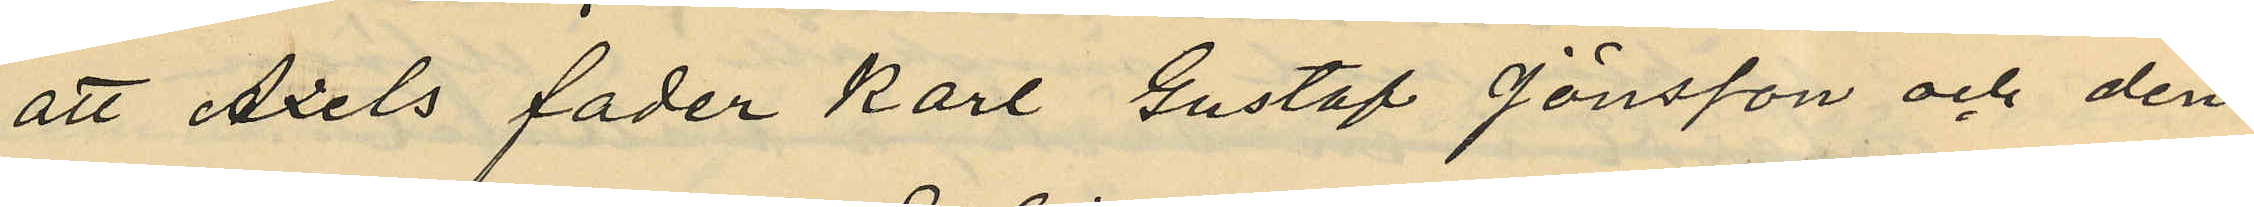att Axels fader Karl Gustaf Jönsson och den¬
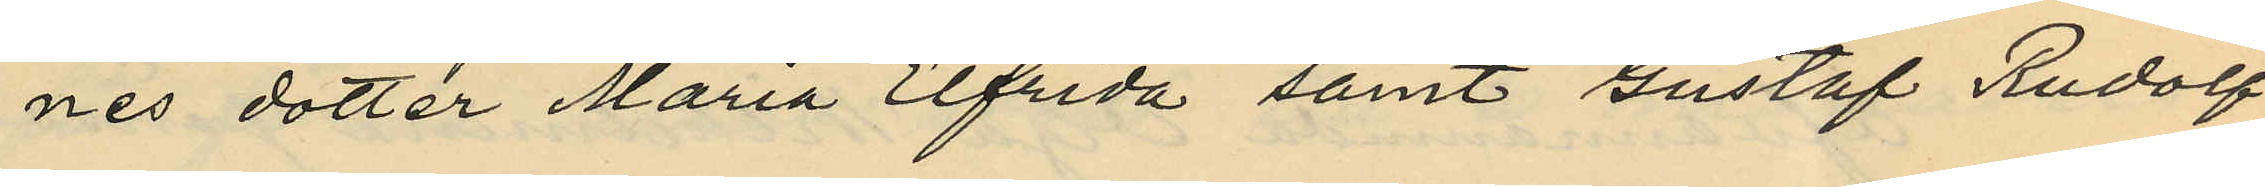nes dotter Maria Elfrida samt Gustaf Rudolf
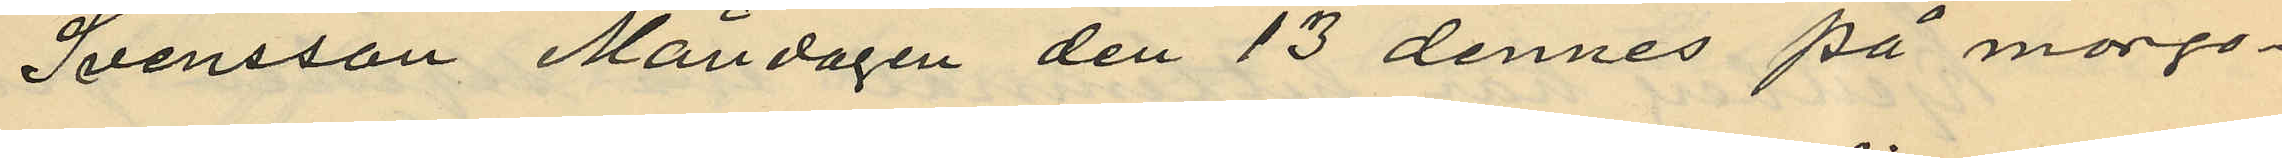Svensson Måndagen den 13 dennes på morgo¬
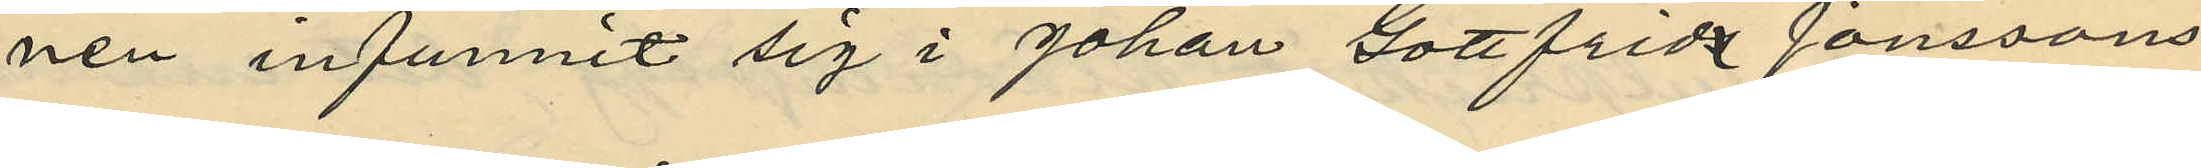nen infunnit sig i Johan Gottfrida Jonssons
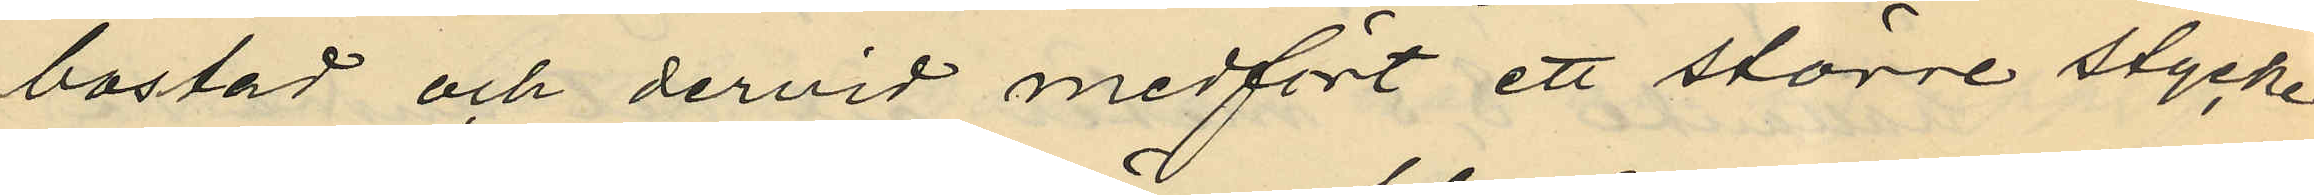bostad och dervid medfört ett större stycke
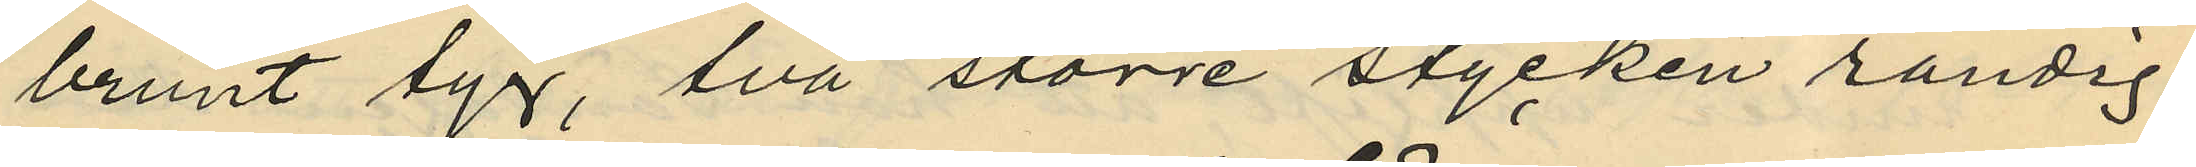brunt tyg, två större stycken randig
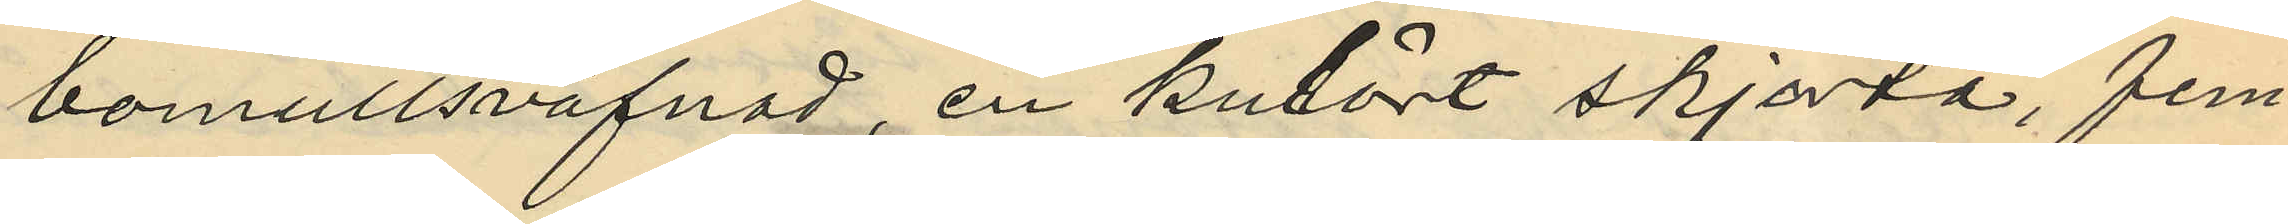bomullsväfnad, en kulört skjorta, fem
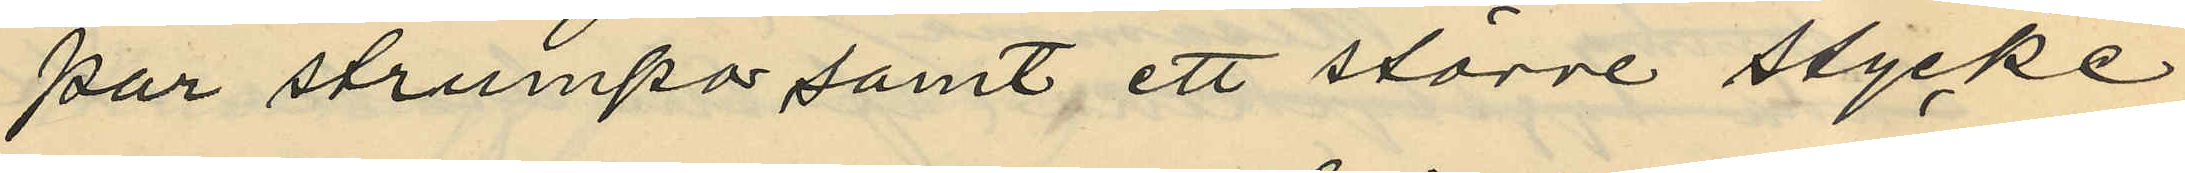par strumpor samt ett större stycke
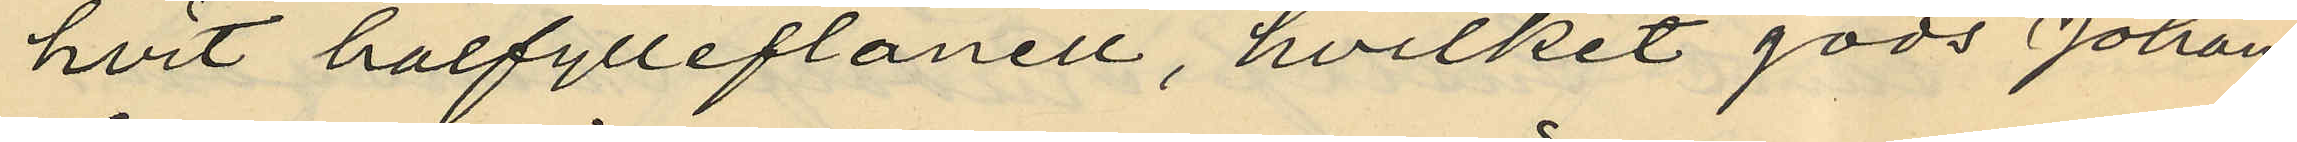hvit halfylleflanell, hvilket gods Johan
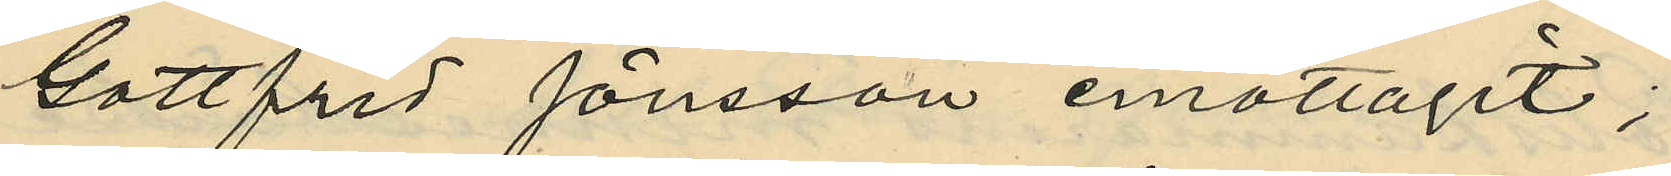Gottfrid Jönsson emottagit;
